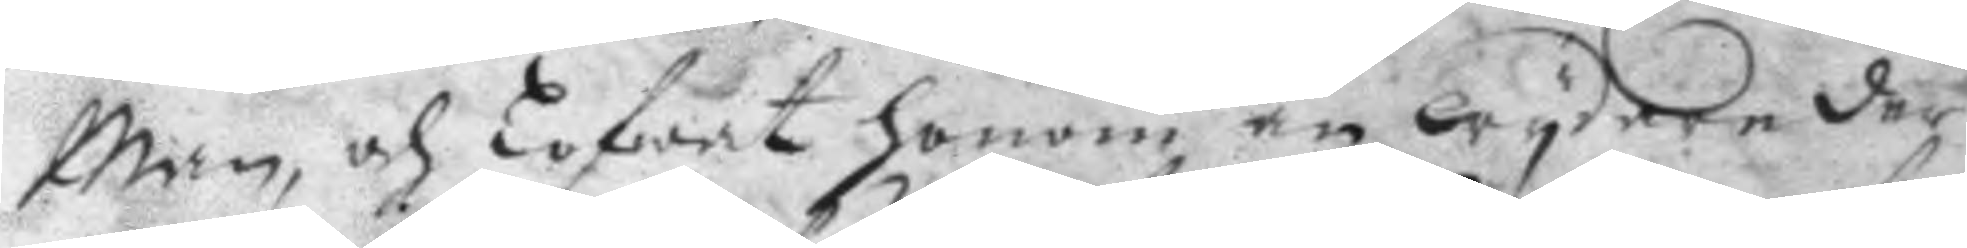Man, och Lofwat honom än wydare der
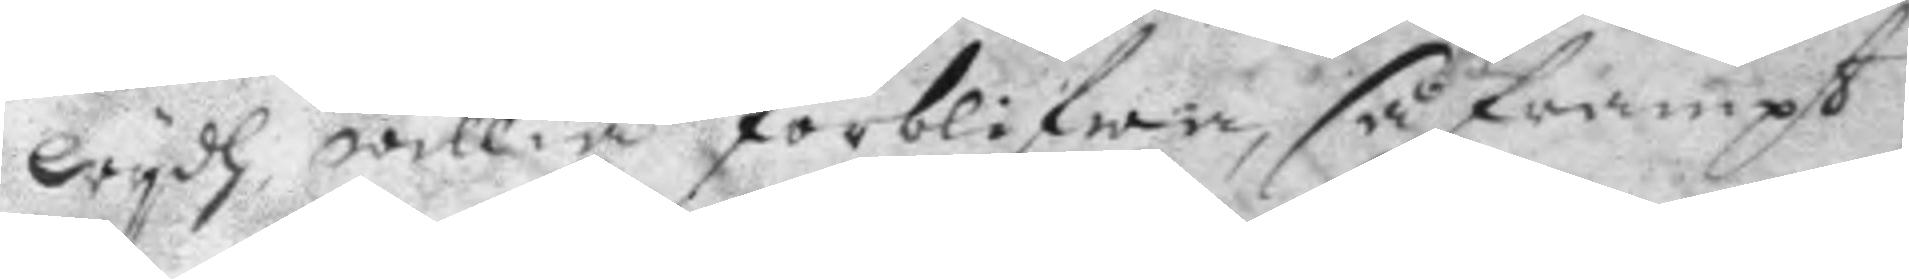wydh willia förblifwa, så frampt
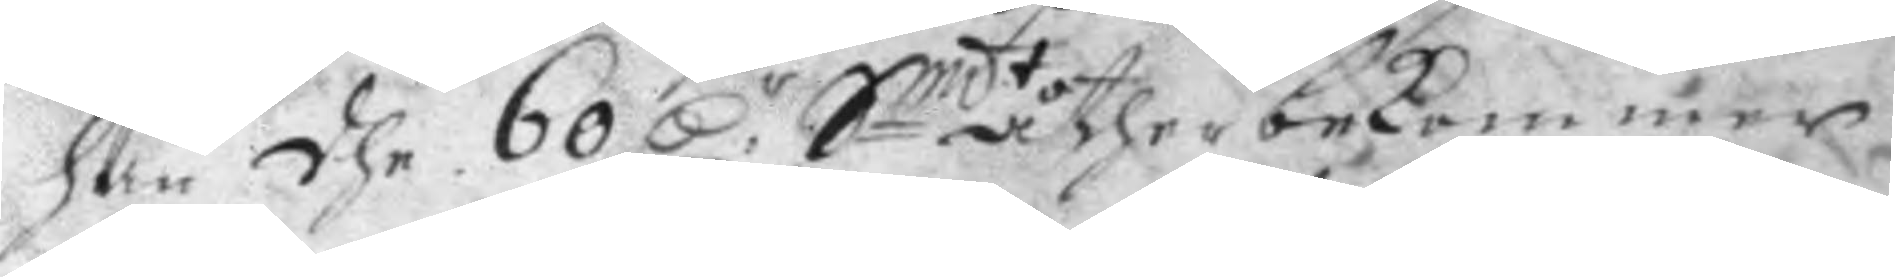han dhe 60 D:r Smdt åther bekommer 
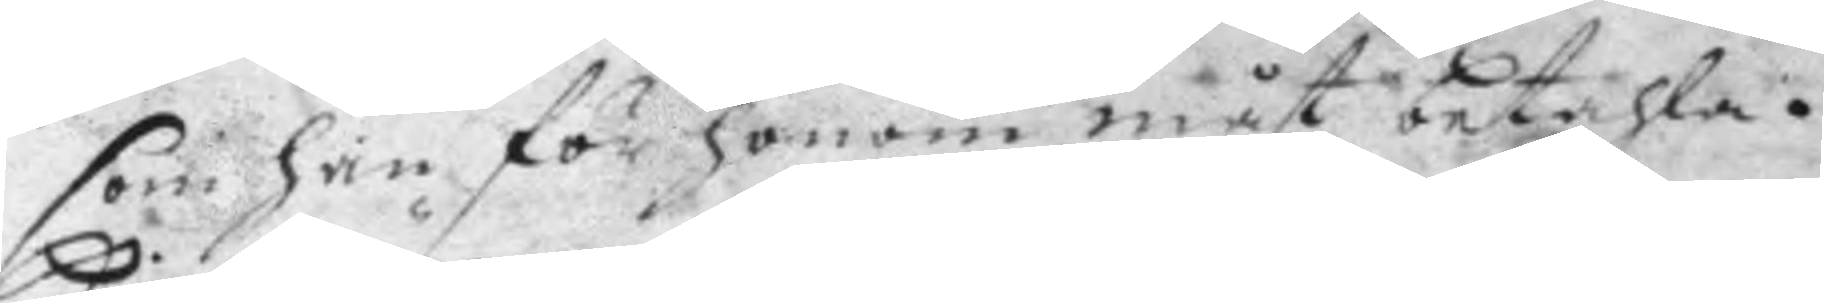som han för honom måst betahla.
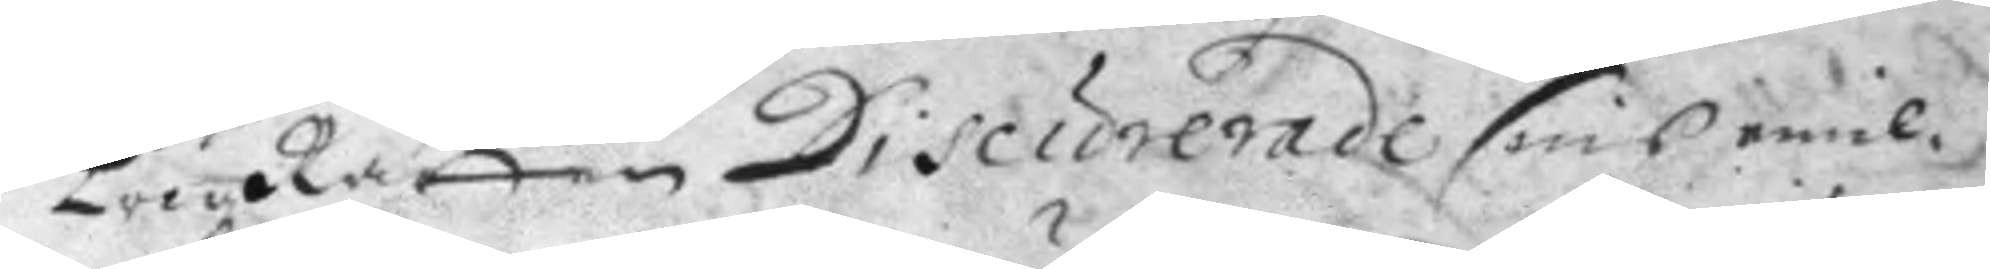KrigzRätten Discurerade sins emil¬
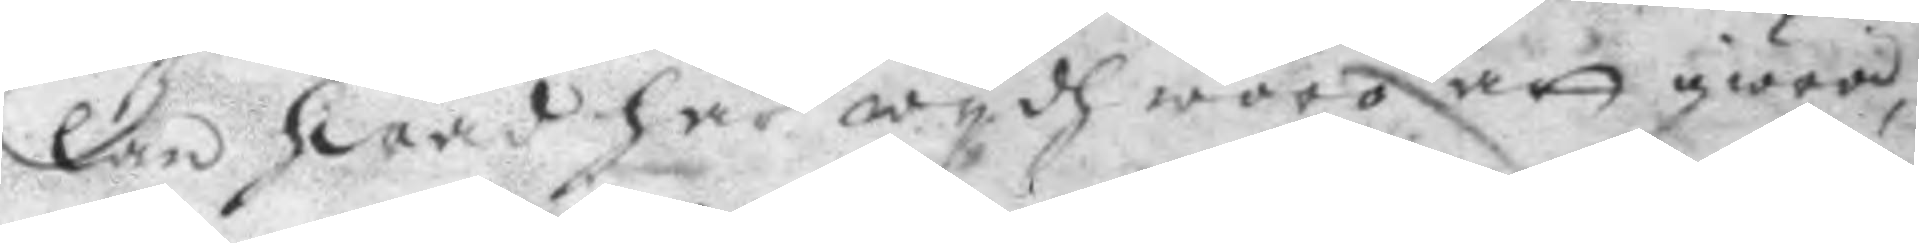lan hwad här wydh woro att giöra
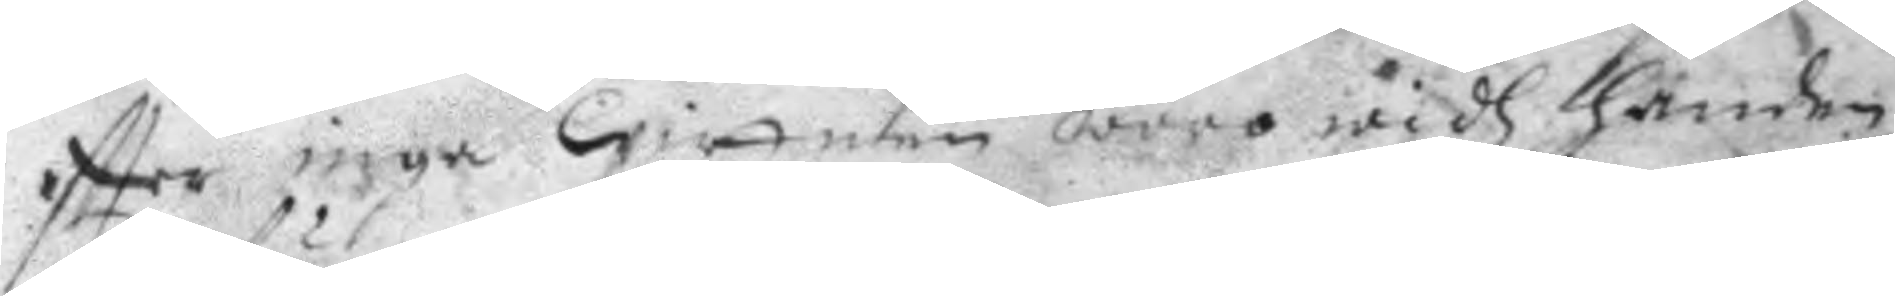eftter inga Wittnen woro widh handen
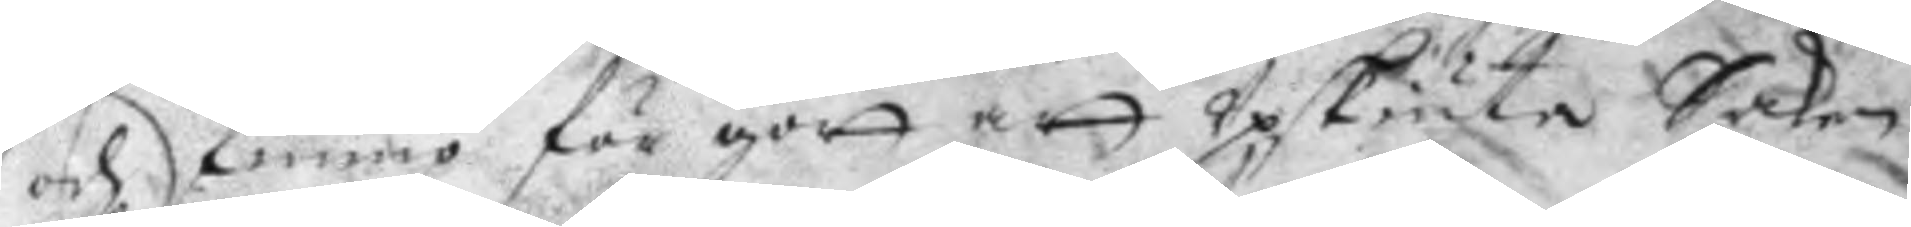och kommo för gott att Upskiuta Saken
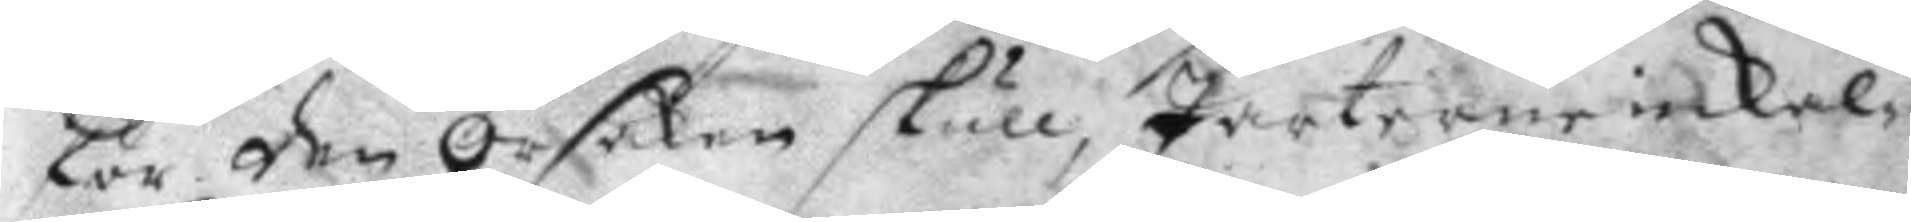för den Orsaken skull, Parterne inkal¬
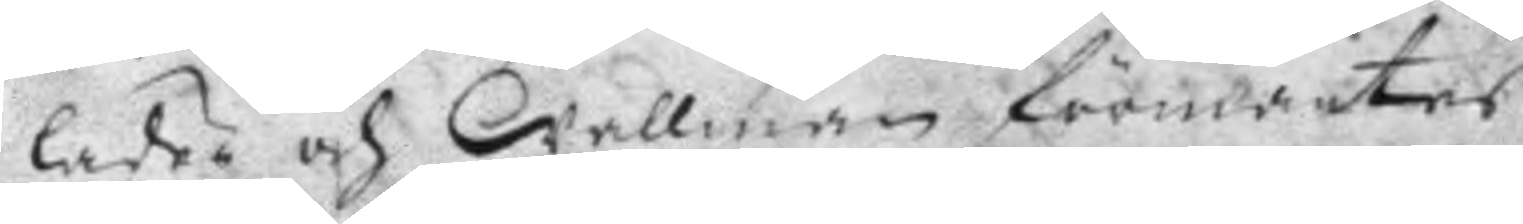lades och Wallman förmantes
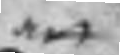att
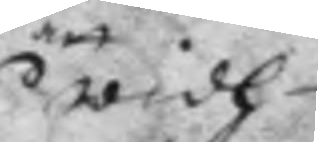widh
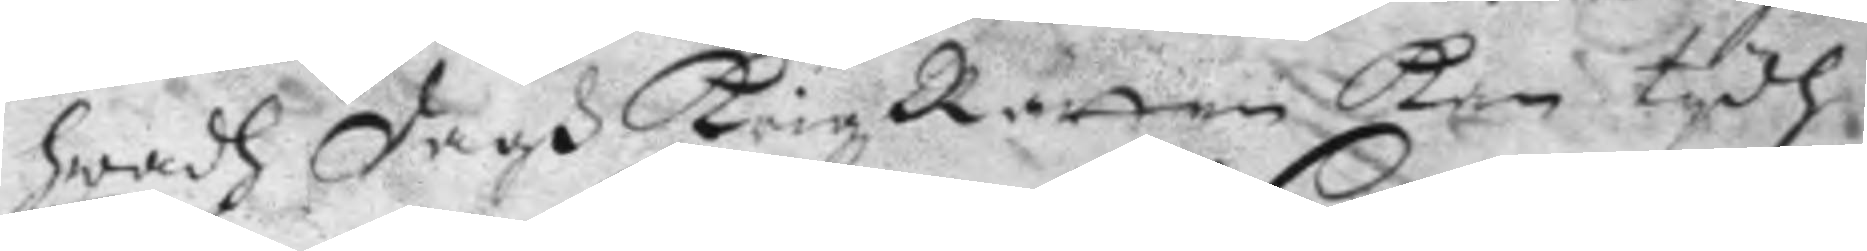hwadh dagh KrigzRätten kan tydh
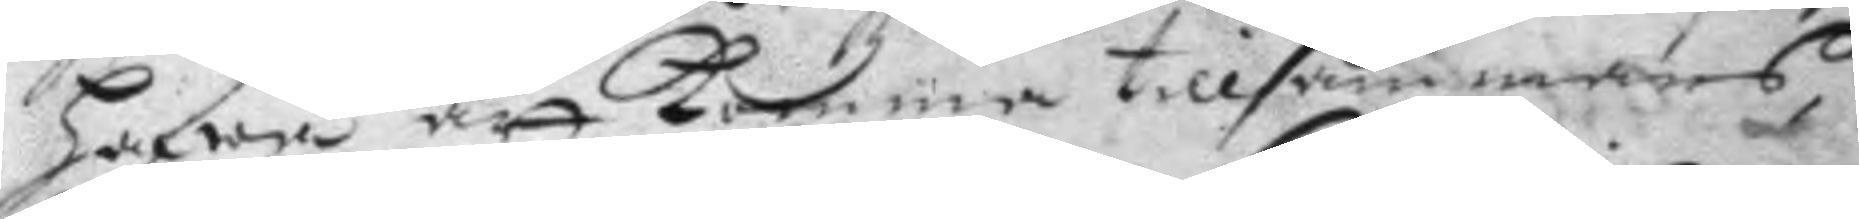hafwa att komma tillsammans,
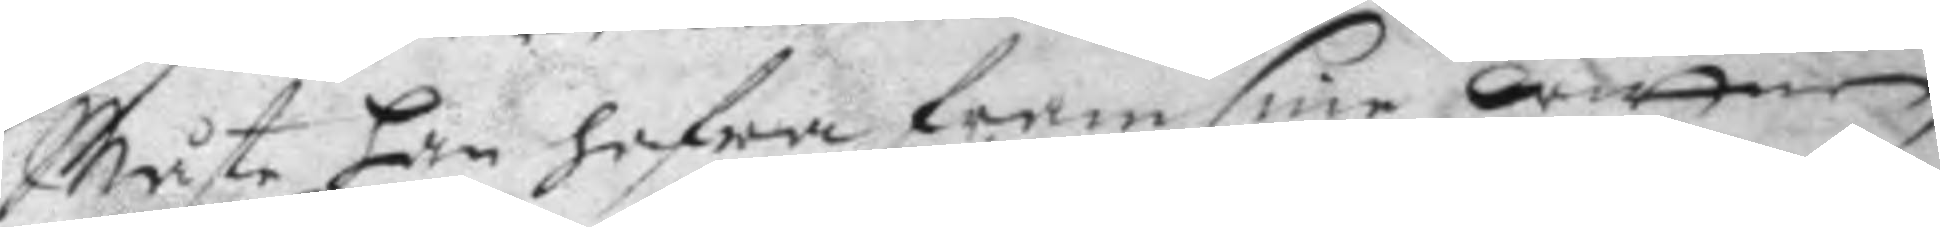Måste han hafwa fram sine wittne,
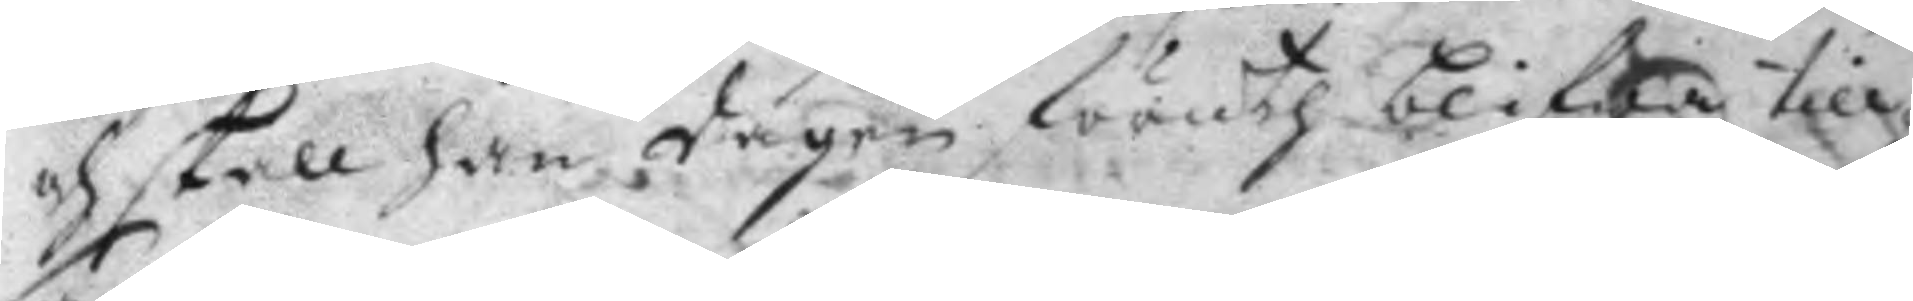och skall han dagen föruth blifwa till¬
